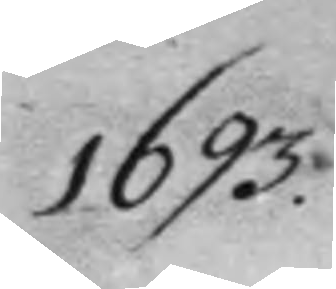1693.
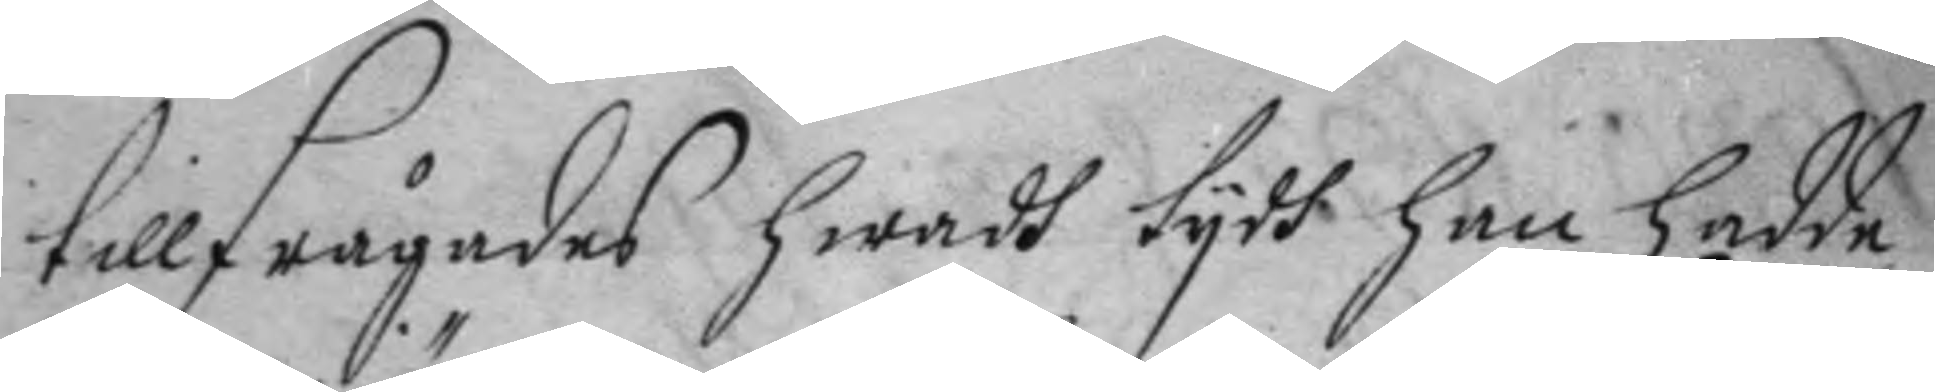tillfrågades hwadh tydh han hadde
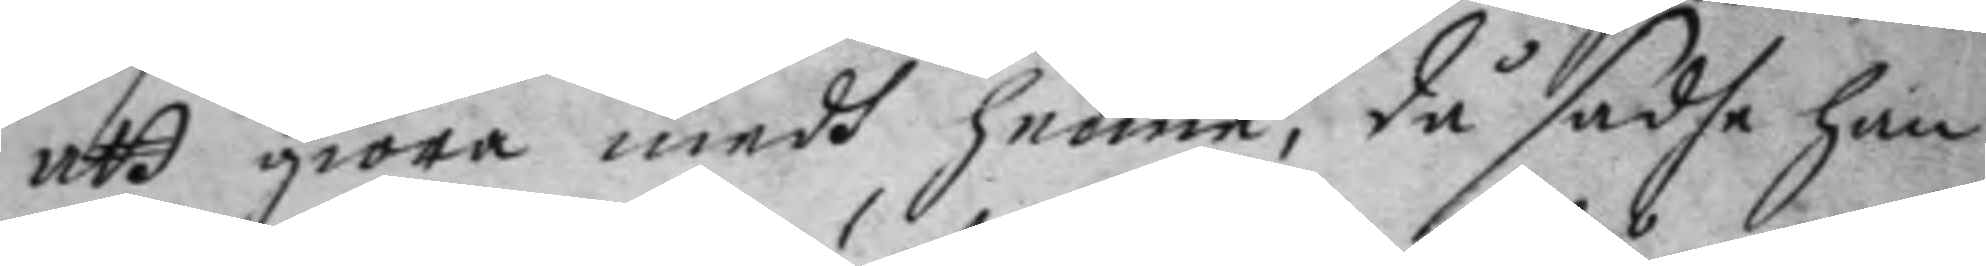att giöra medh henne, då sadhe han
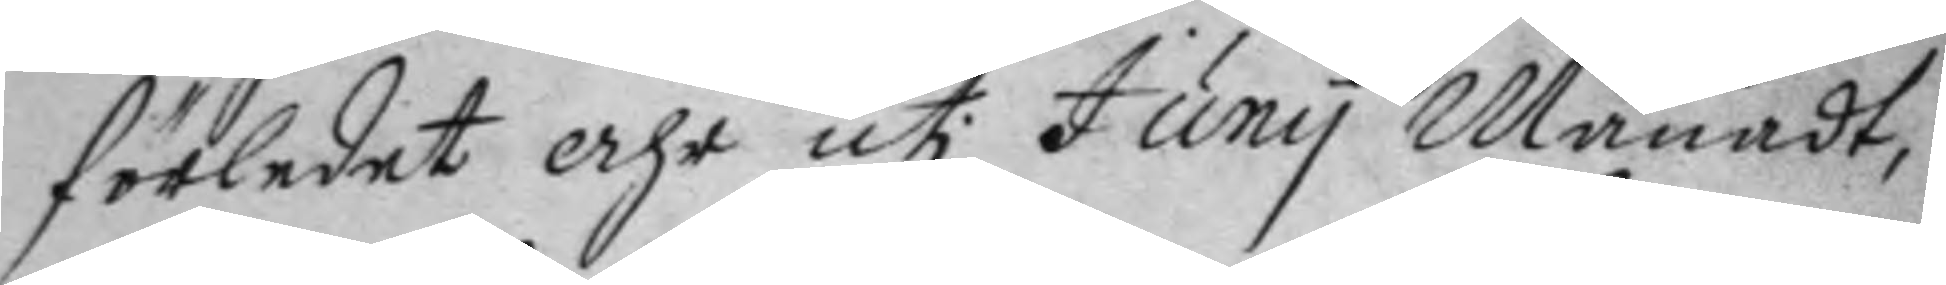förledet åhr uti Juny Månadt,
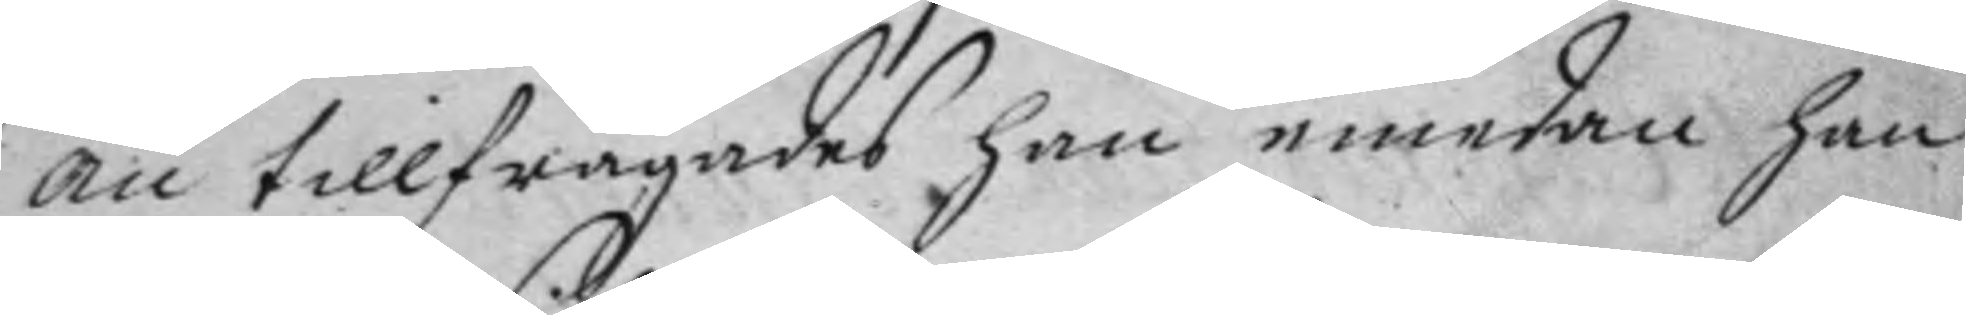än tillfrågades han emedan han
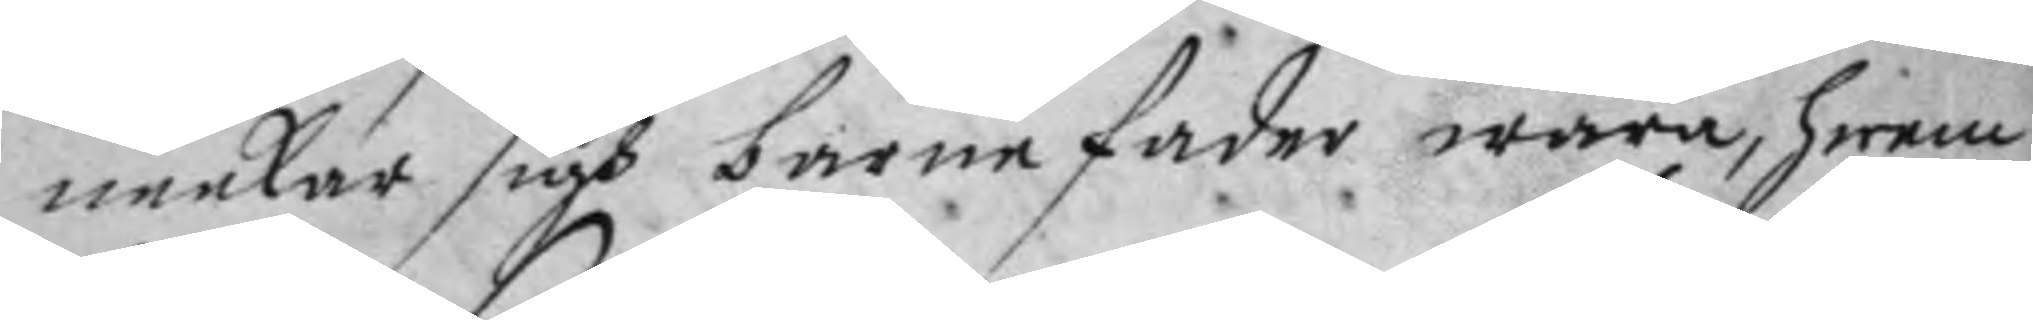neekar sigh barnefader wara, hwem
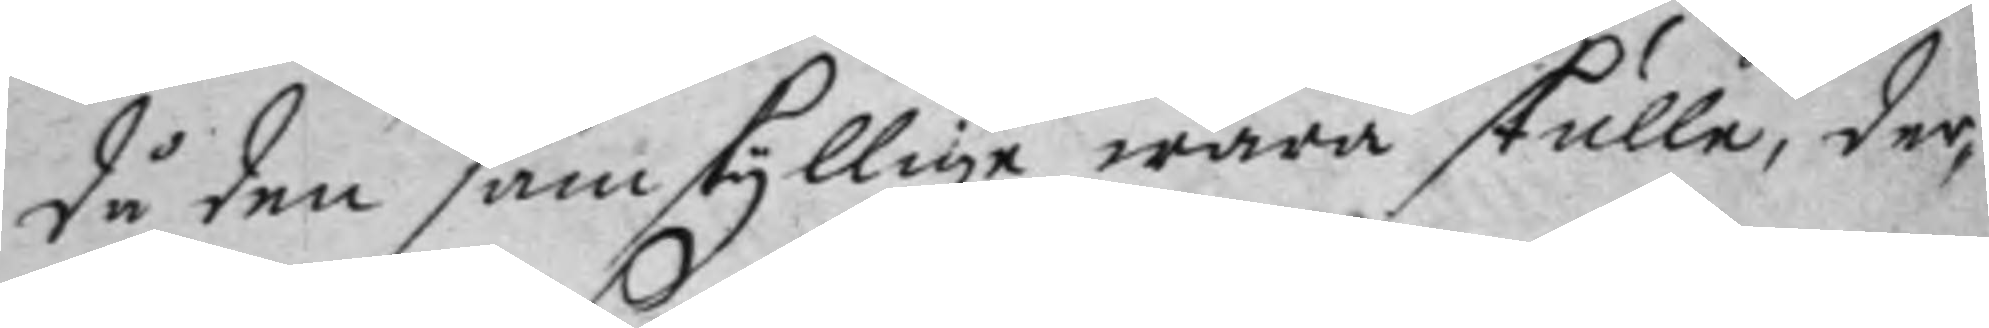då den samskyllige wara skulle, der¬
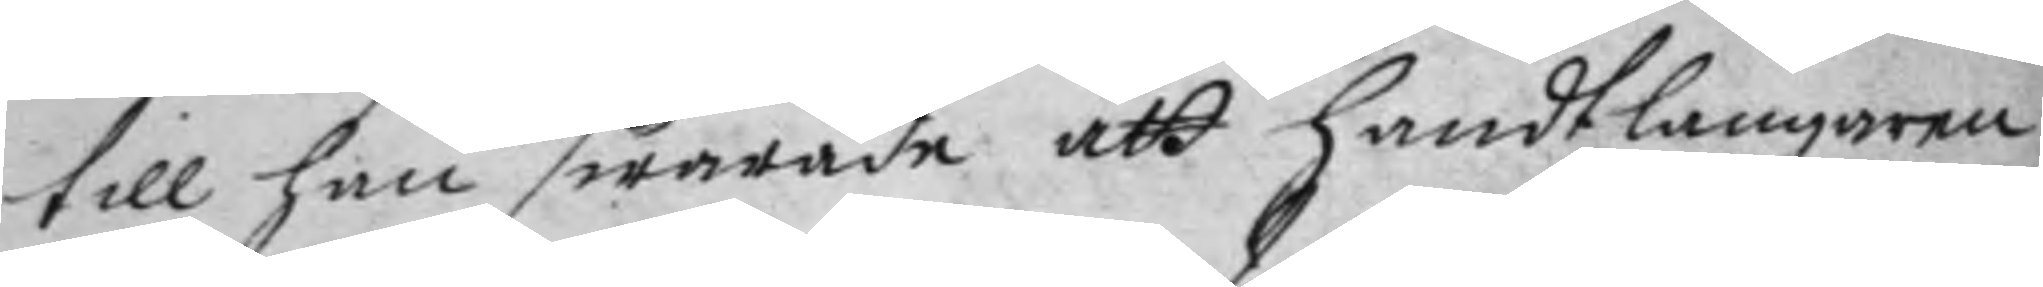till han swarade att handtlangaren
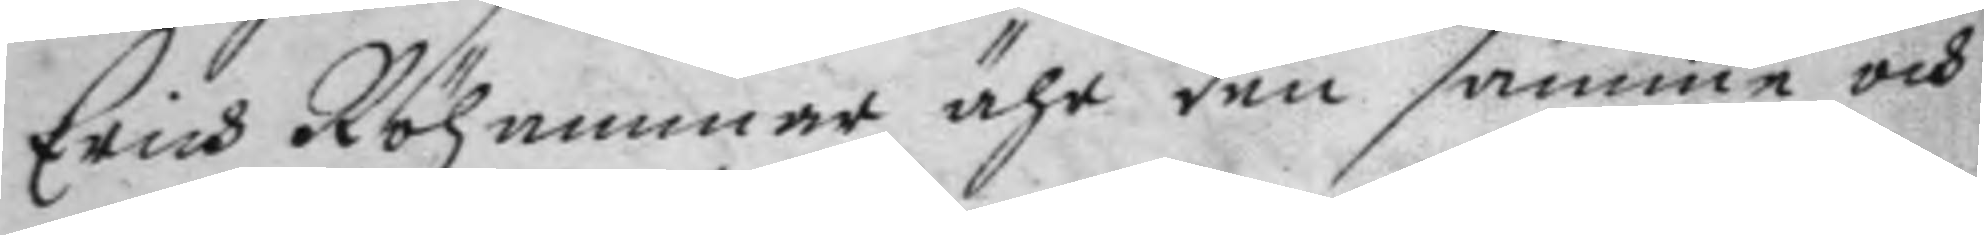Erich Röhammar ähr den samme och
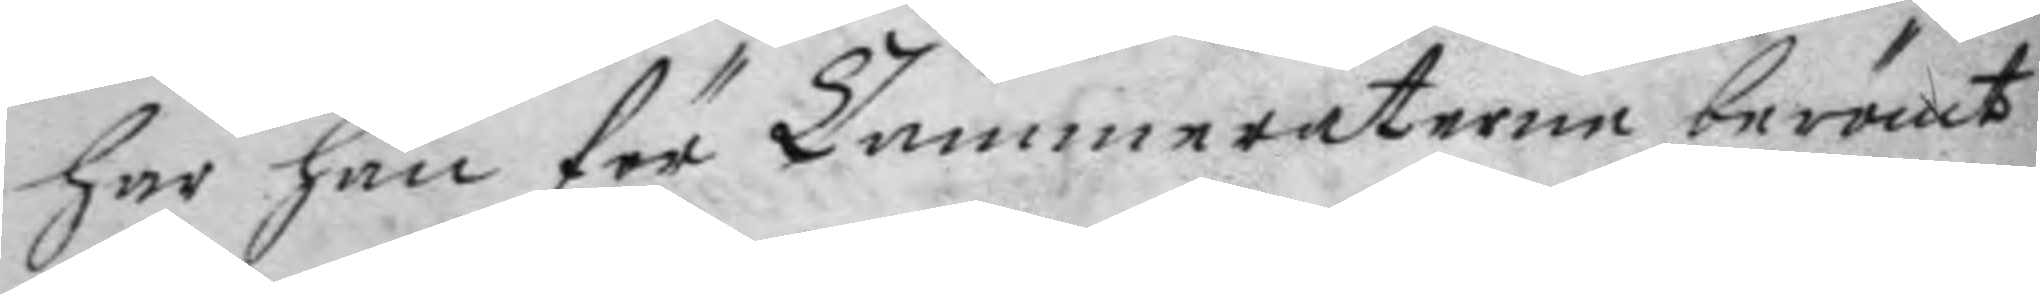har han för Cammeraterne berömt
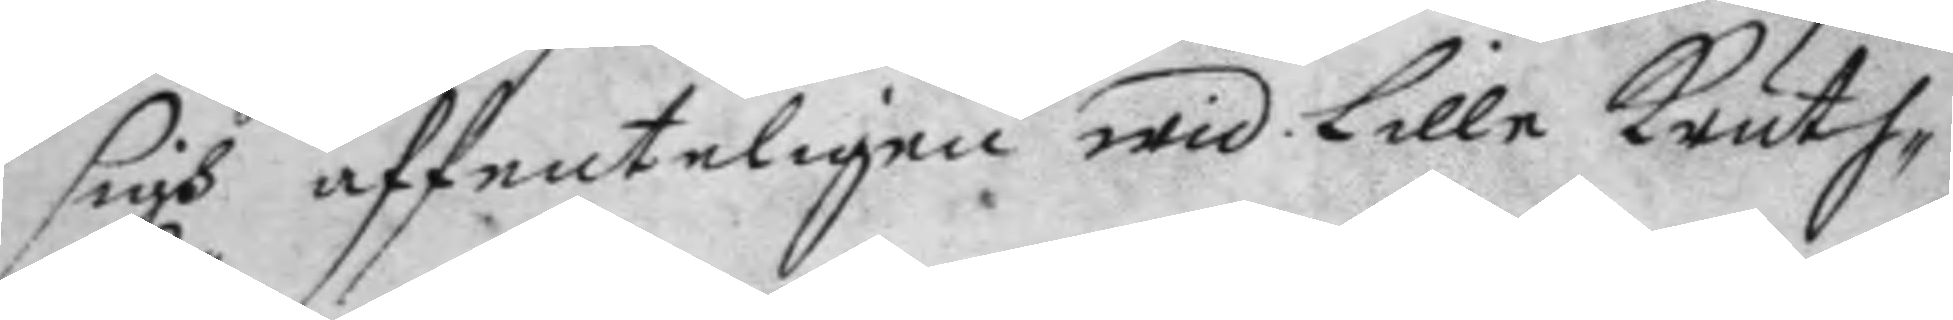sigh affenteligen wid Lille Kruth¬
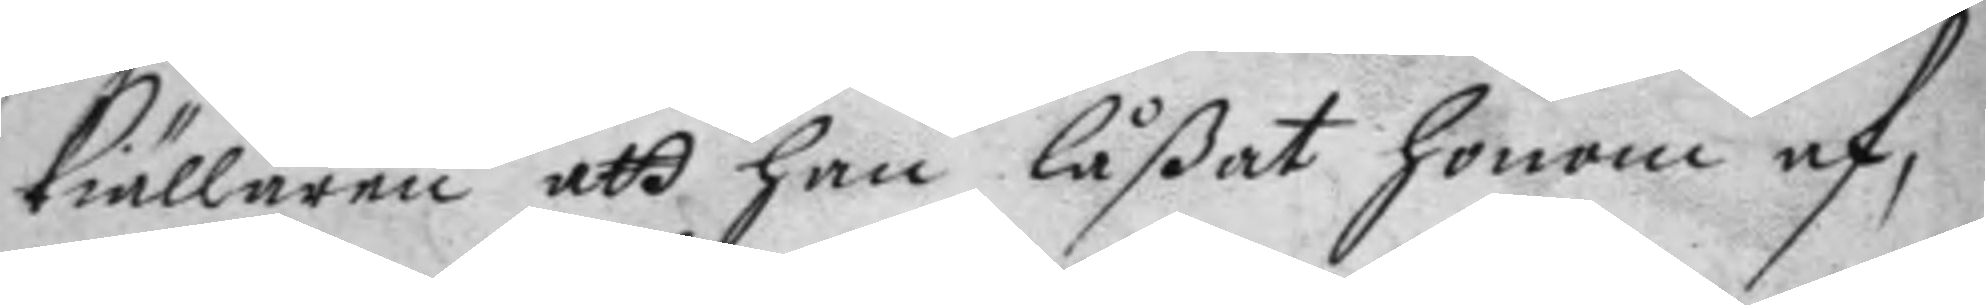kiällaren att han låßat honom af, 
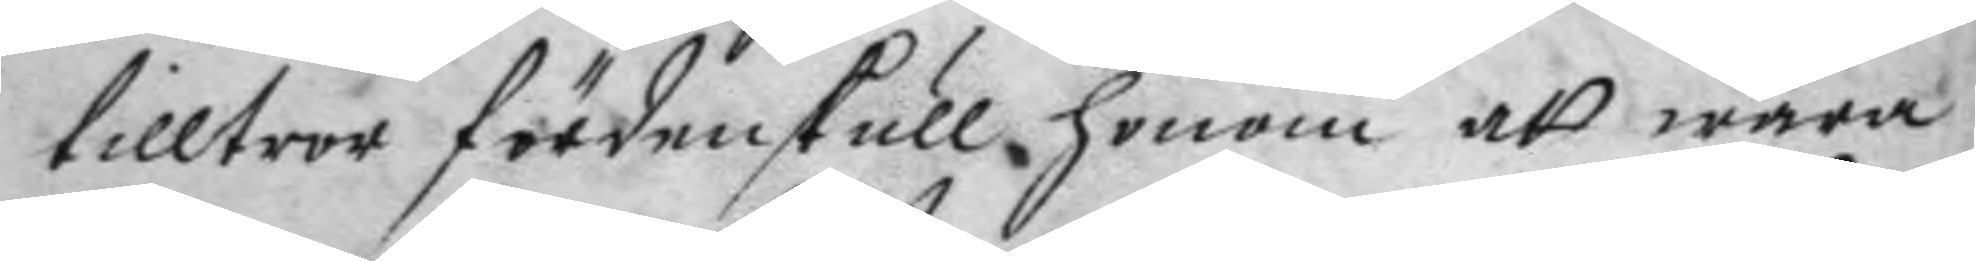tilltror fördenskull honom att wara
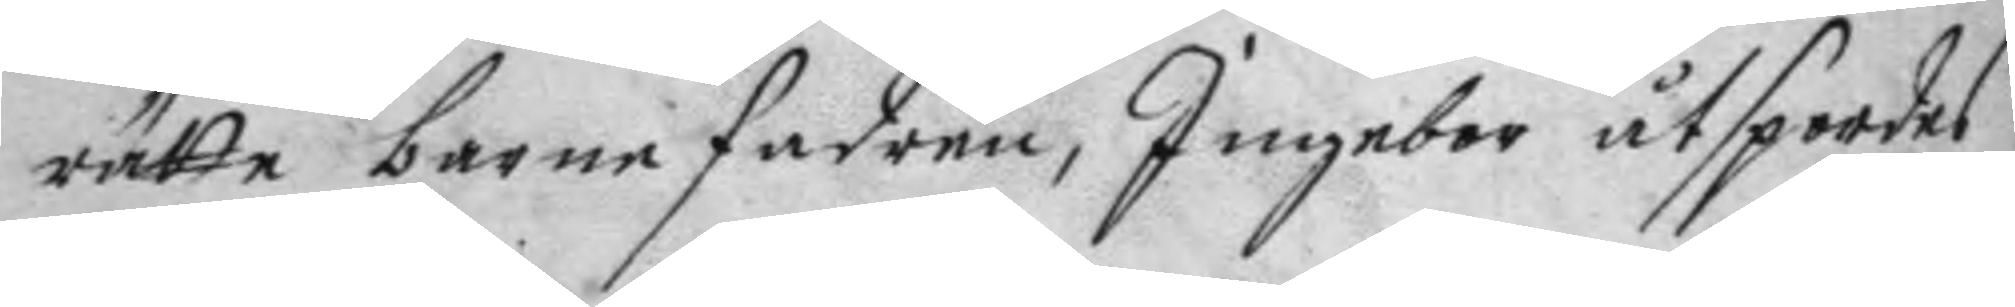rätta barnafadren, Ingebor åtspordes
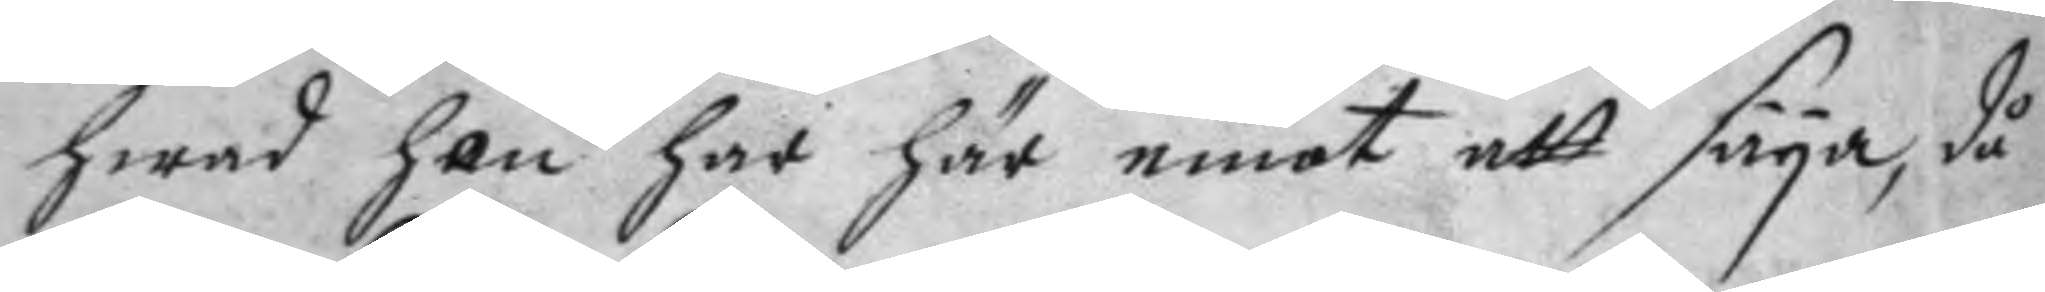hwad hon har här emot att säya, då
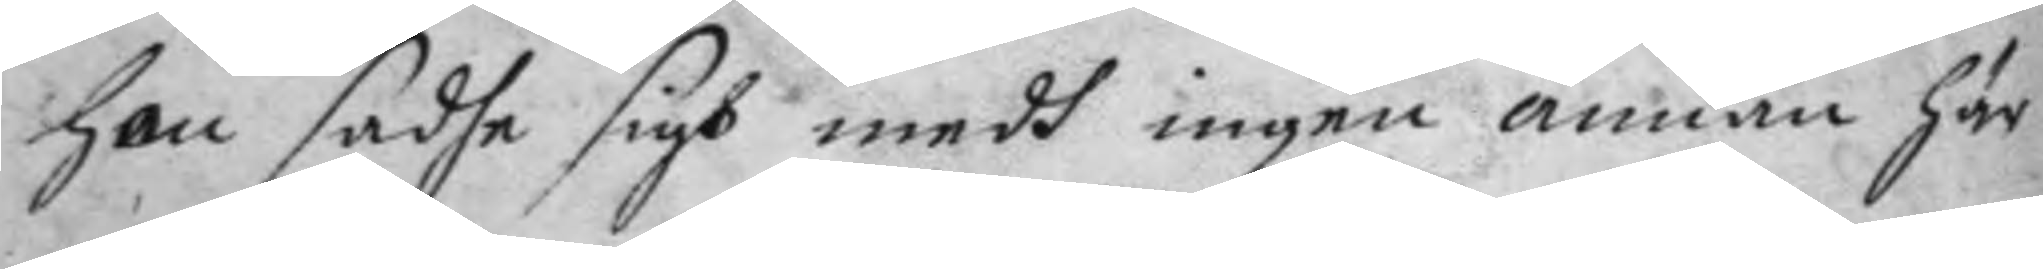hon sadhe sigh medh ingen annan här
